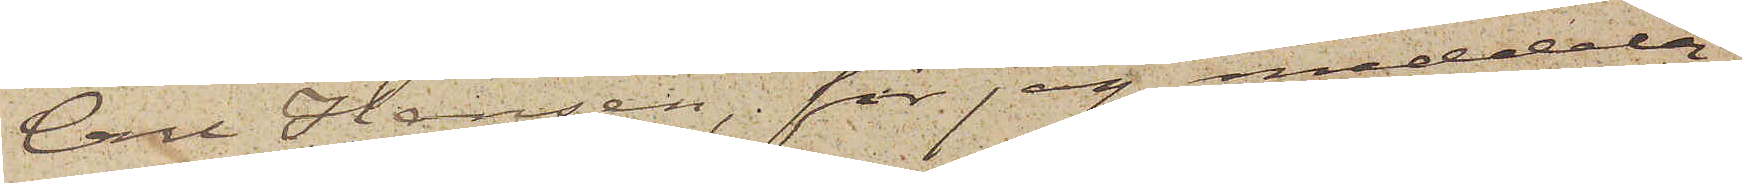Carl Hansen, får jag meddela,
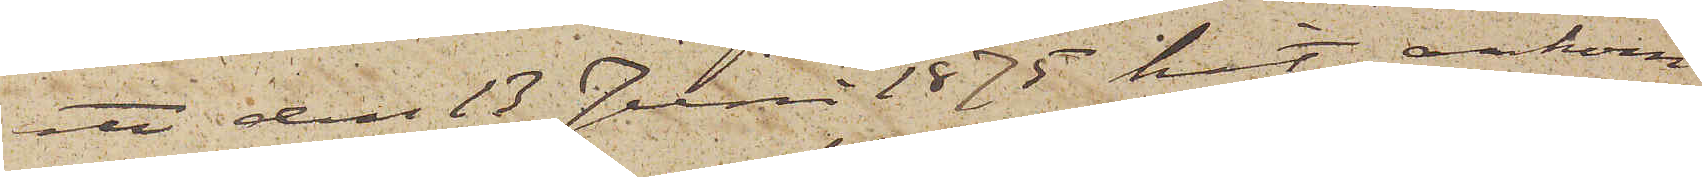att den 13 Juni 1875 hit ankom
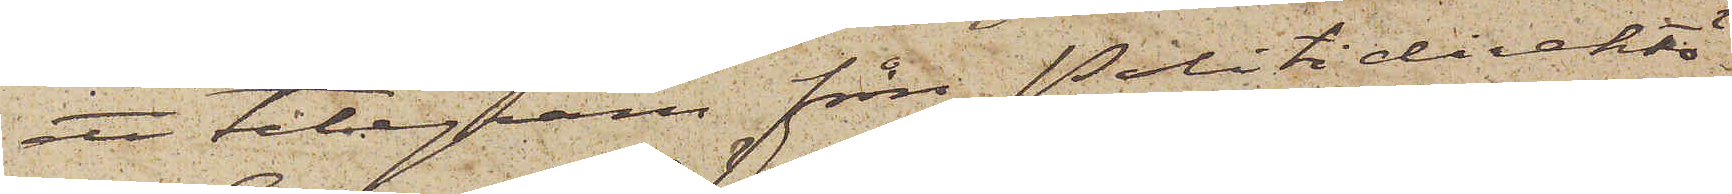ett telegram före Politidirektö¬
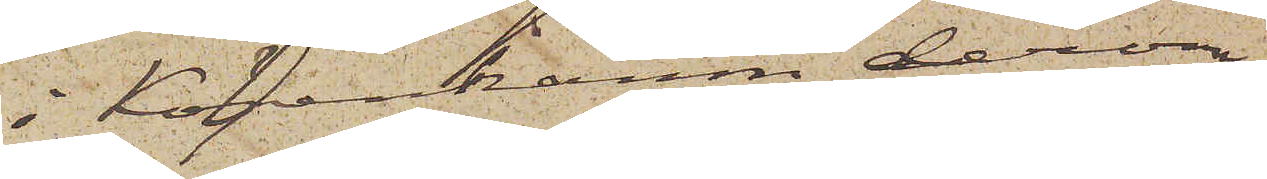i Köpenhamn derom
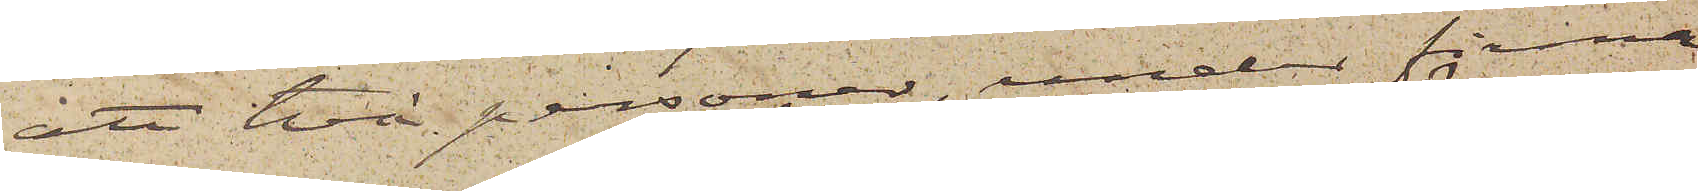att två personer under firma
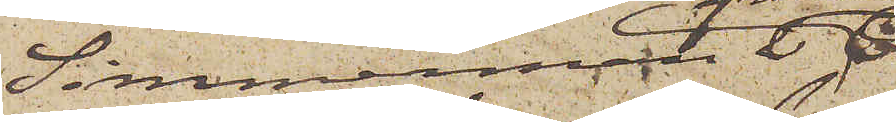Simmerman & Ci
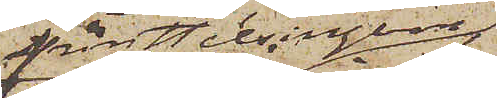från Helsingborg
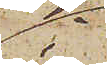i
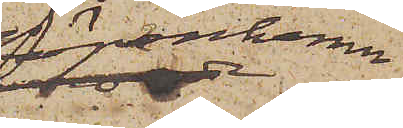Köpenhamn
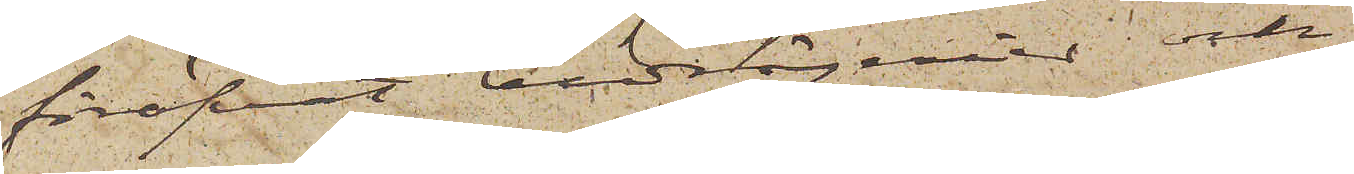föröfvat bedrägerier och
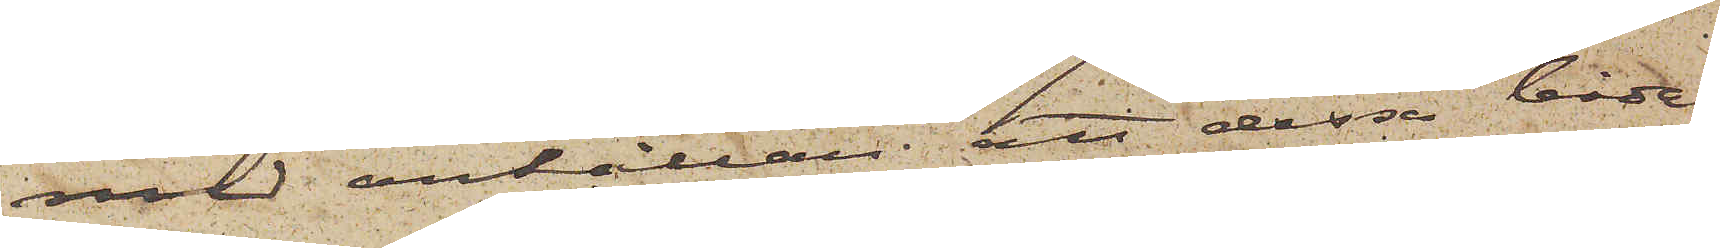med anhållan att dessa båda
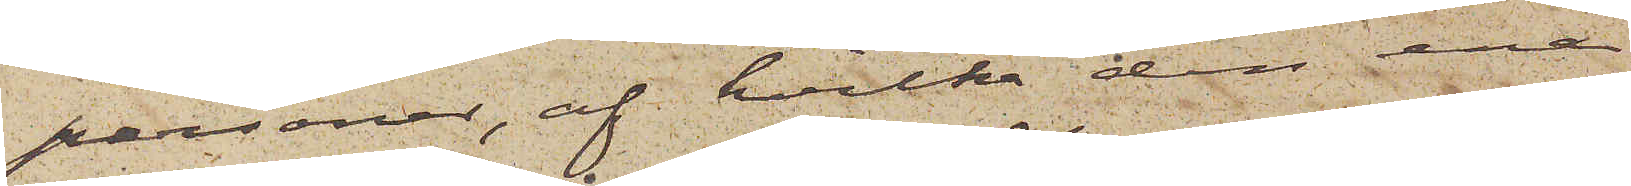personer, af hvilka den ene
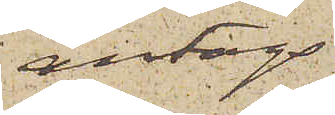antogs
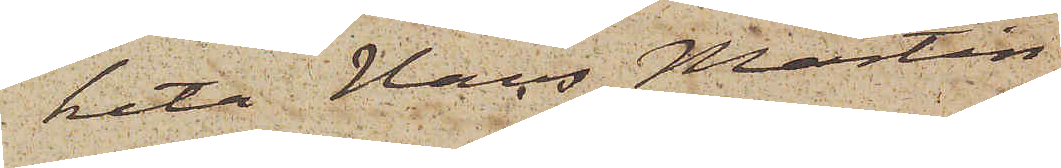heta Hans Martin
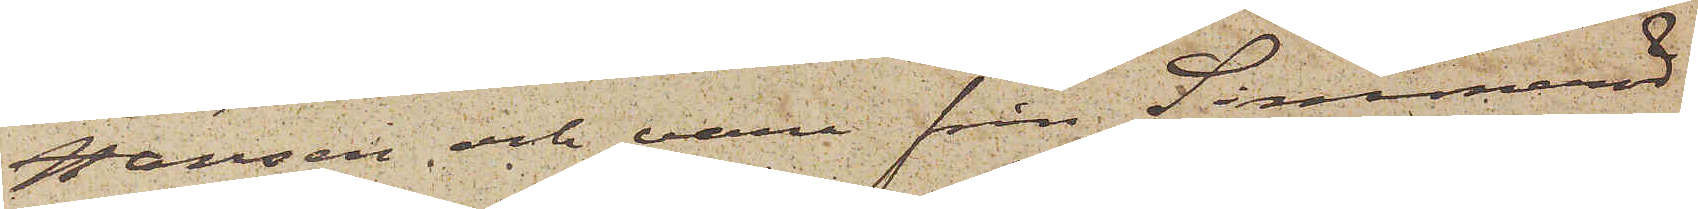Hansen och vara från Simmeröd
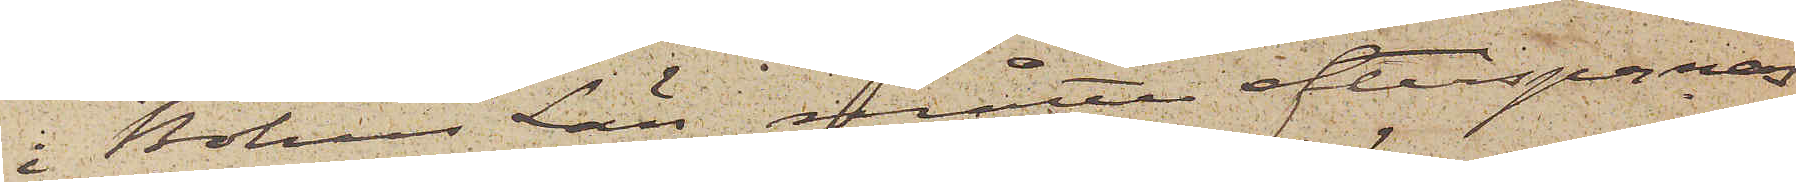i Bohus Län måtte efterspanas
